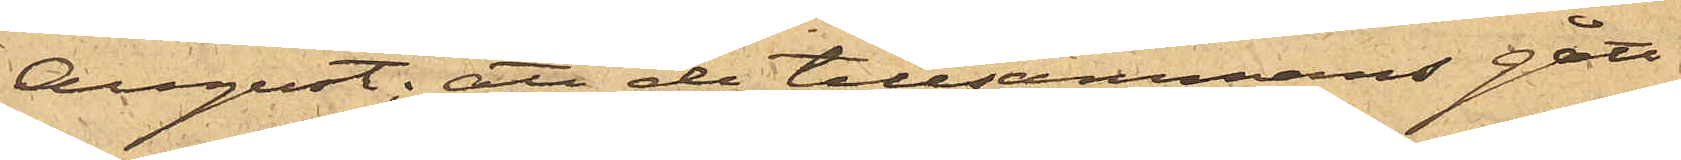August; att de tillsammans gått
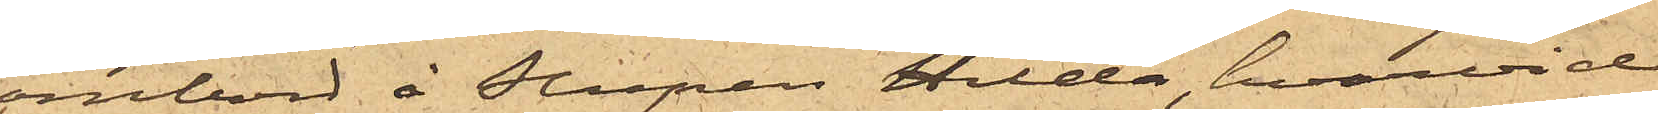ombord å Slupen Hilda, hvarvid
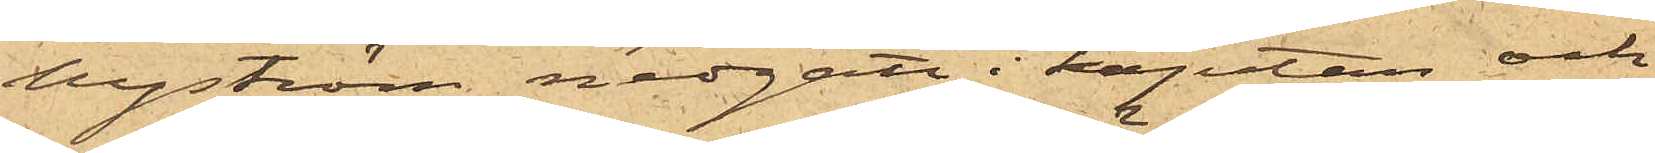Nyström nedgått i kajutan och
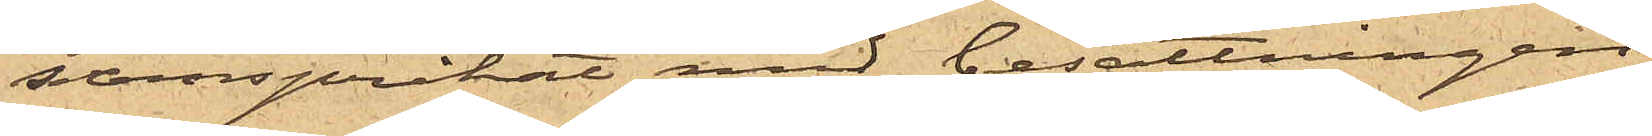samspråkat med besättningen
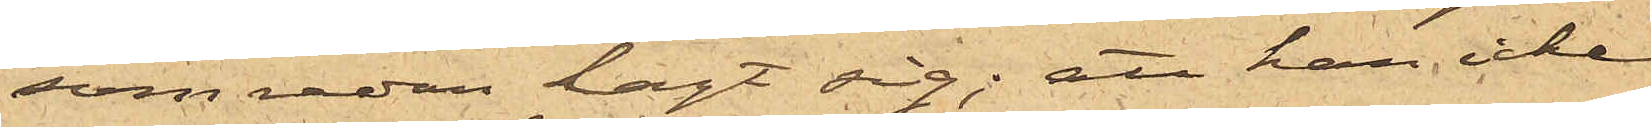som redan lagt sig; att han icke
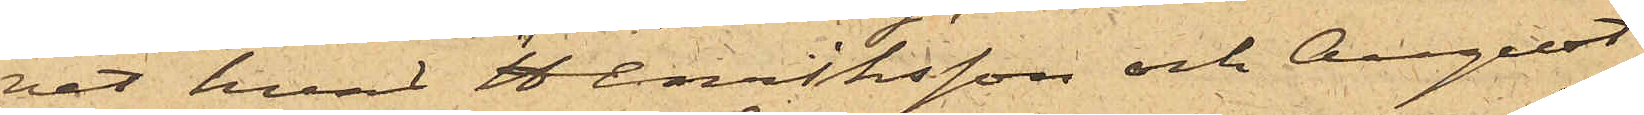vet hvad Henriksson och August
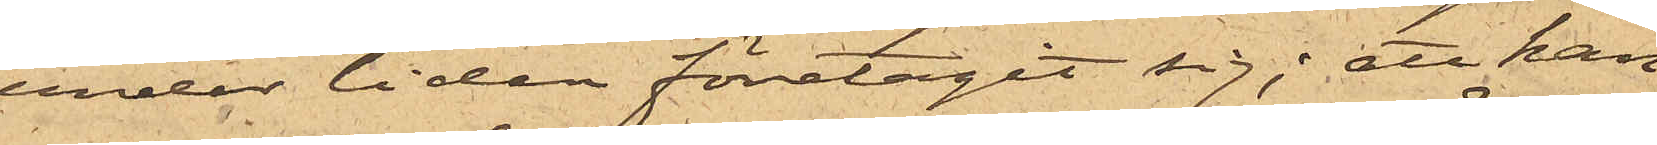under tiden företagit sig; att han
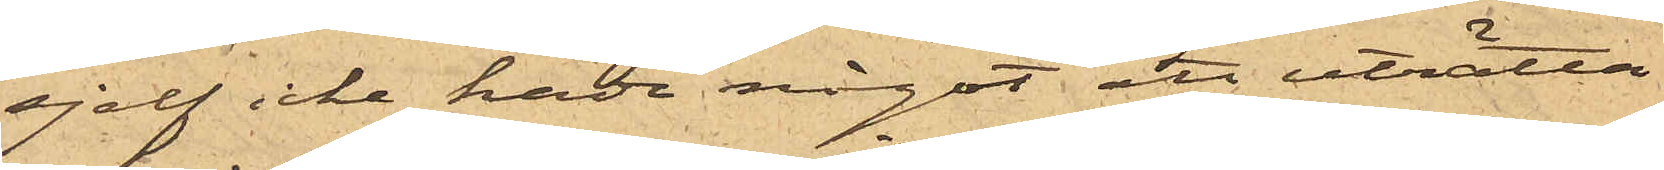sjelf icke hade något att uträtta
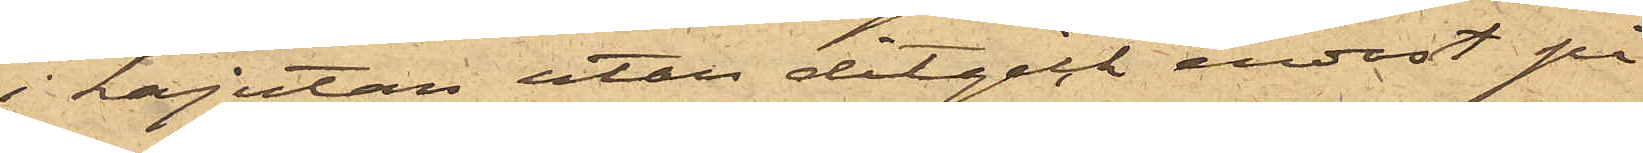i kajutan utan ditgick endast på
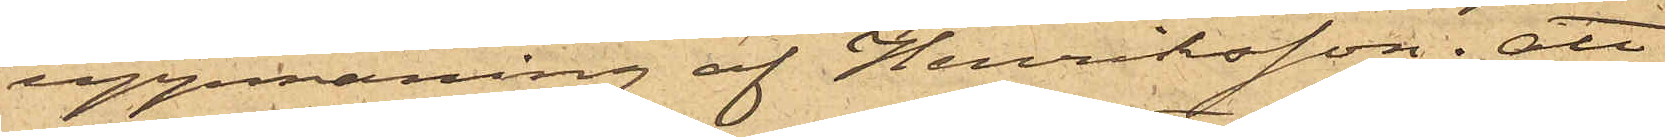uppmaning af Henriksson; att
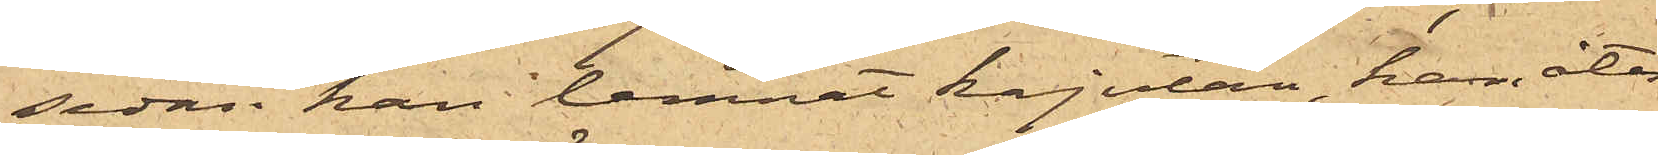sedan han lemnat kajutan, han åter
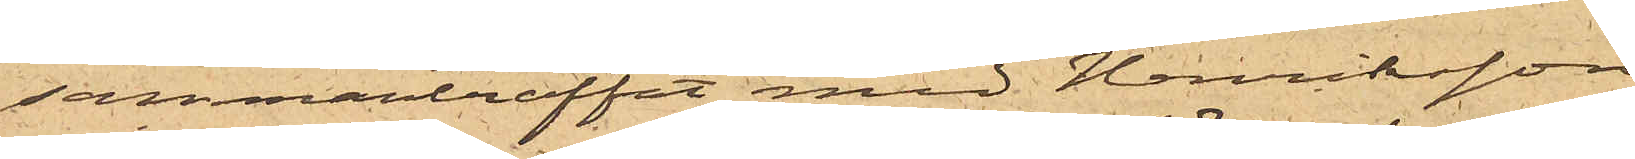sammanträffat med Henriksson
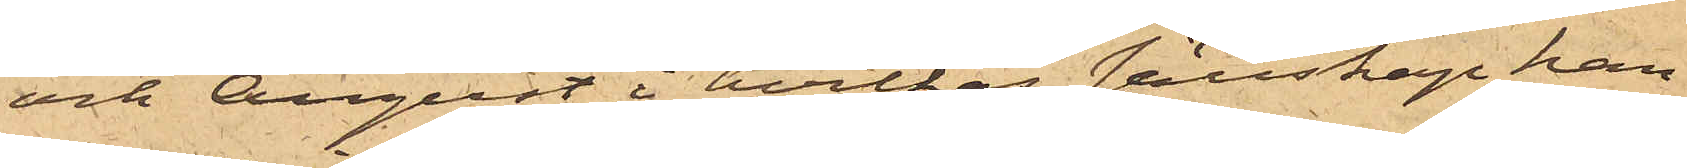och August, i hvilkas sällskap han
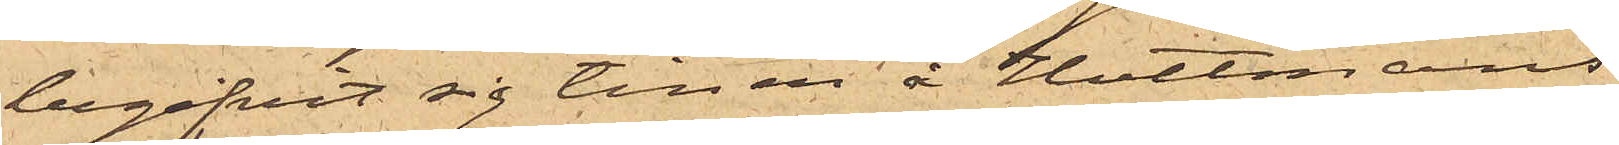begifvit sig till en å Hultmans
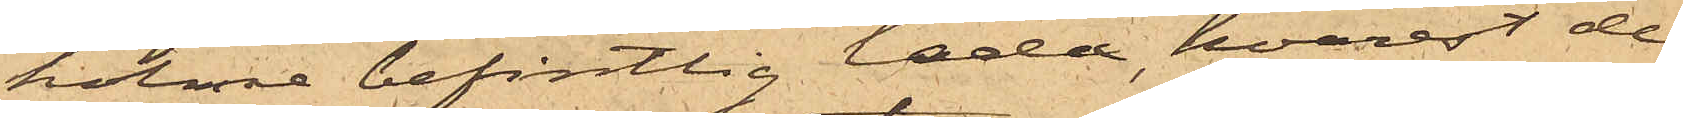holme befintlig lada, hvarest de
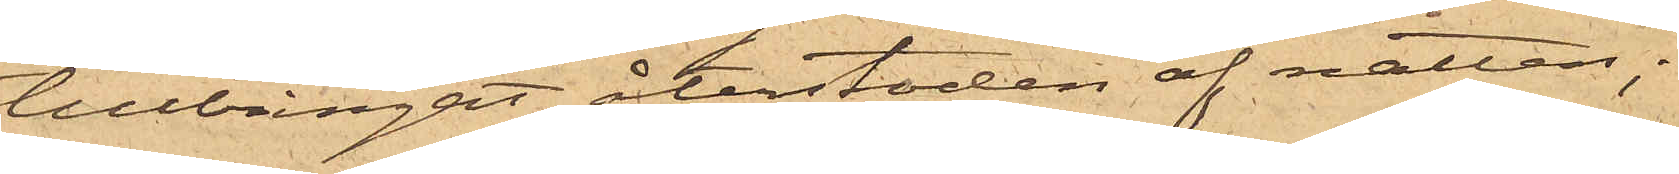tillbringat återstoden af natten;
